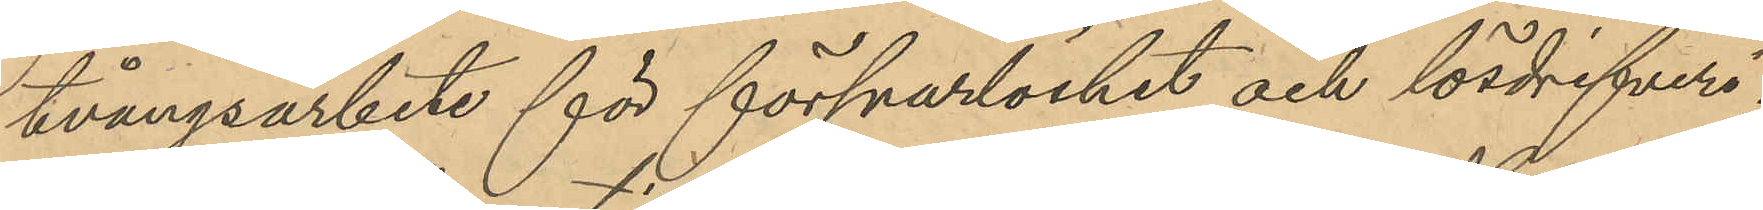tvångsarbete för försvarslöshet och lösdrifveri;
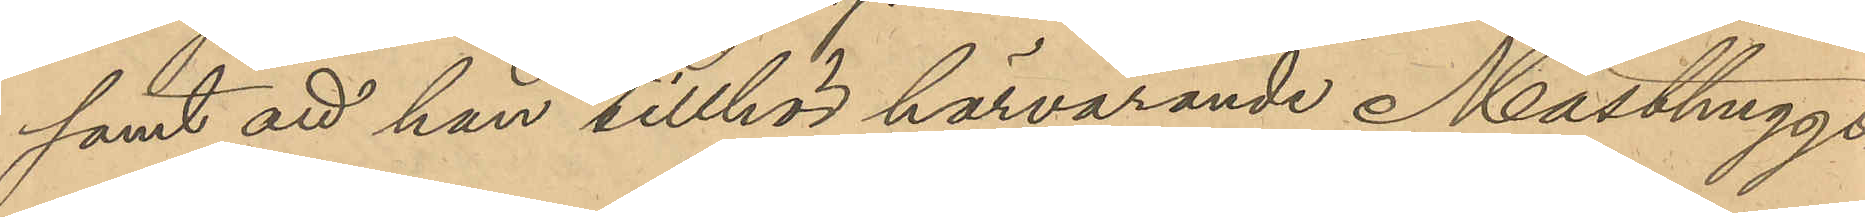samt att han tillhör härvarande Matshuggs
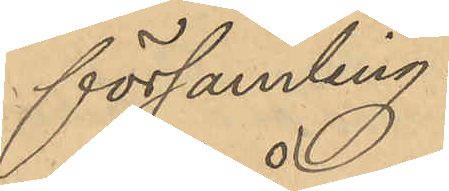församling.
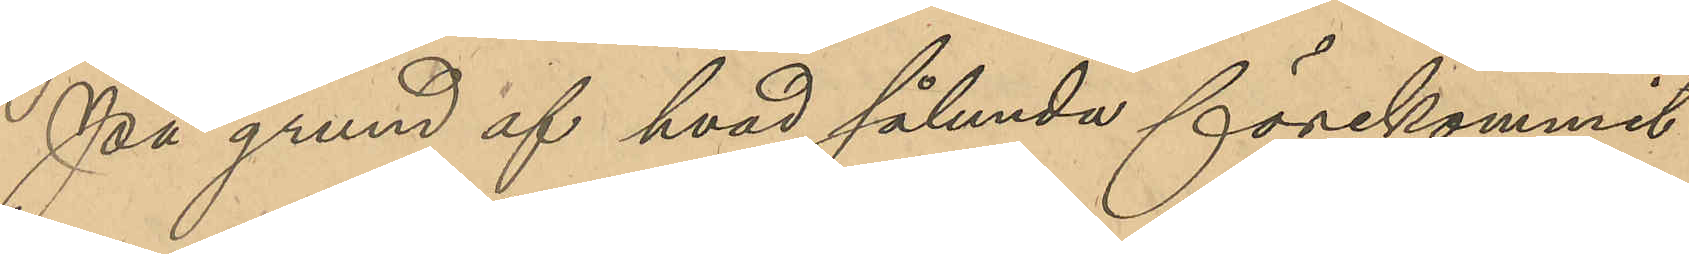På grund af hvad sålunda förekommit
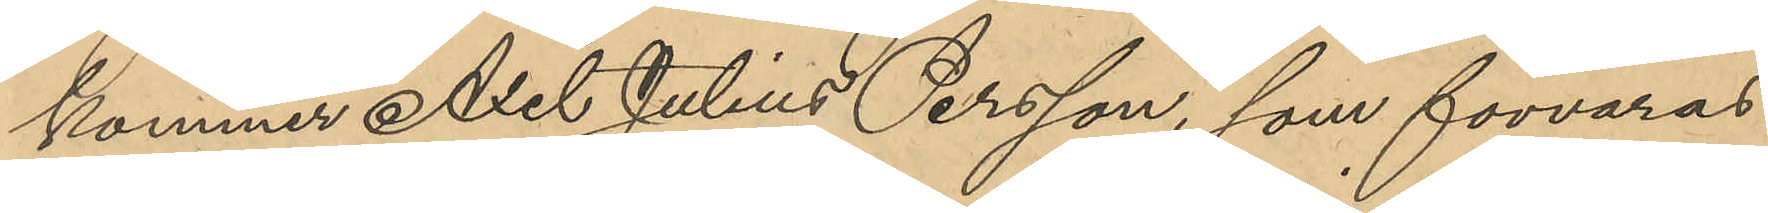kommer Axel Julius Persson, som förvaras
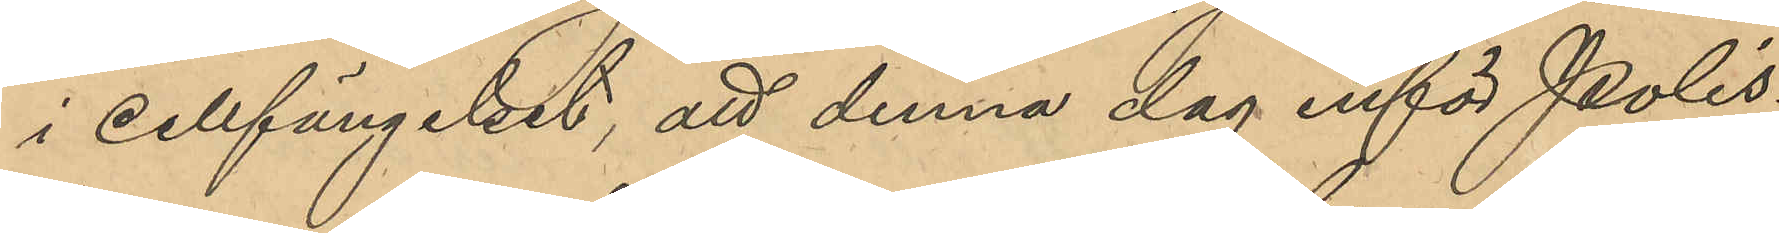i Cellfängelset, att denna dag inför Polis¬
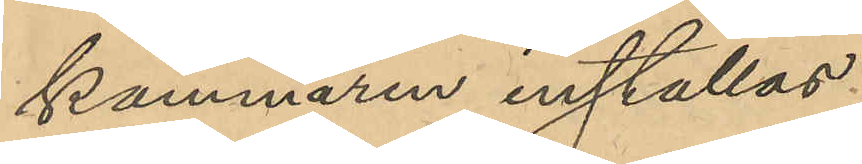kammaren inställas.     
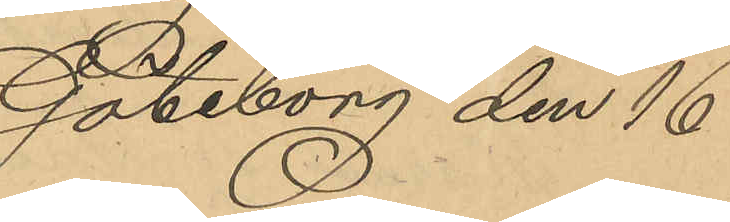Göteborg den 16
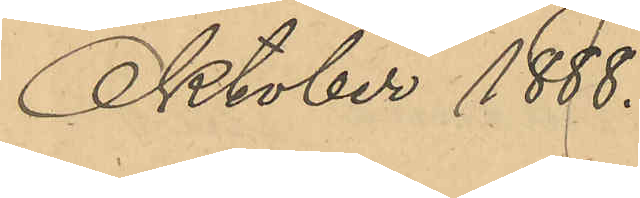Oktober 1888.
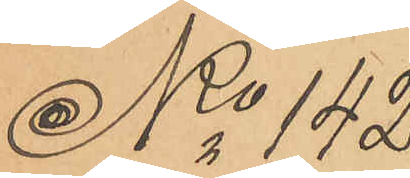No 142
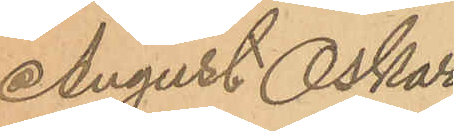August Oskar
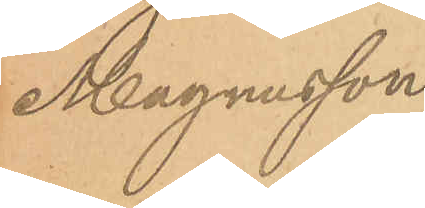Magnusson.
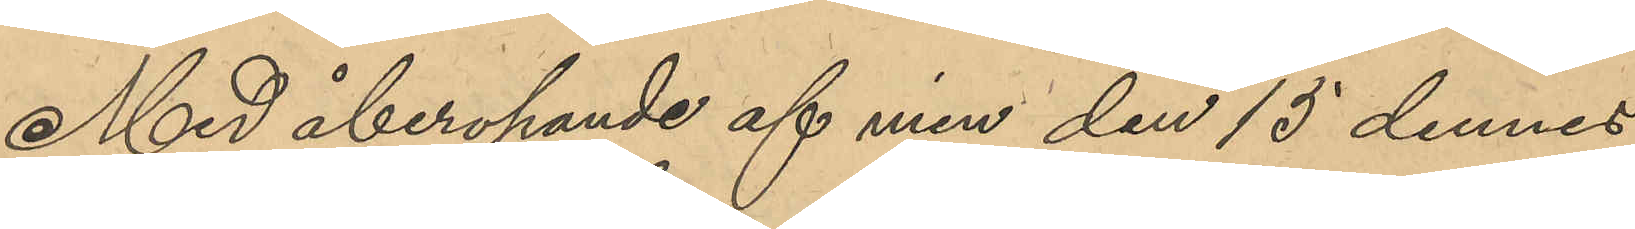Med åberopande af min den 15 dennes
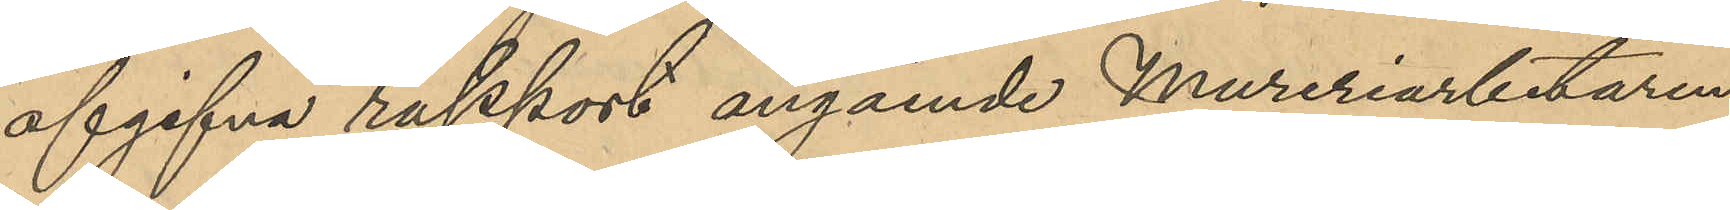afgifna rapport angående Mureriarbetaren
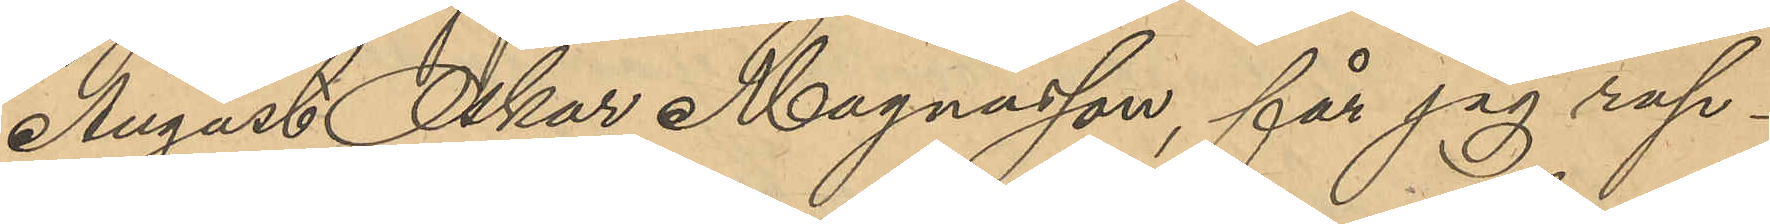August Oskar Magnusson, får jag rap¬
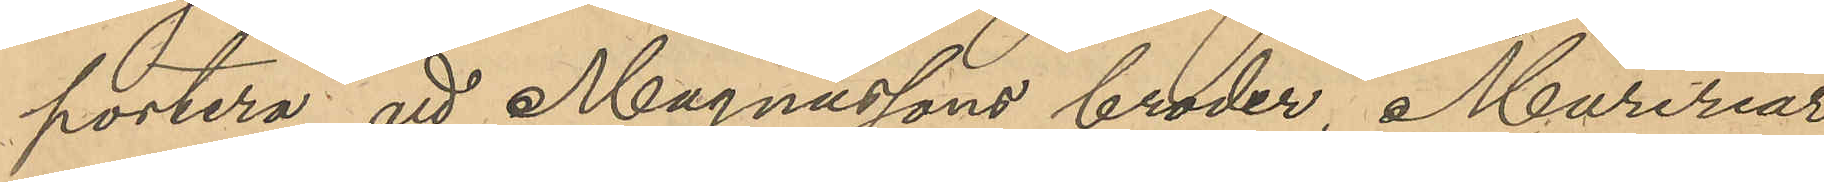portera, att Magnussons broder Mureriar¬
